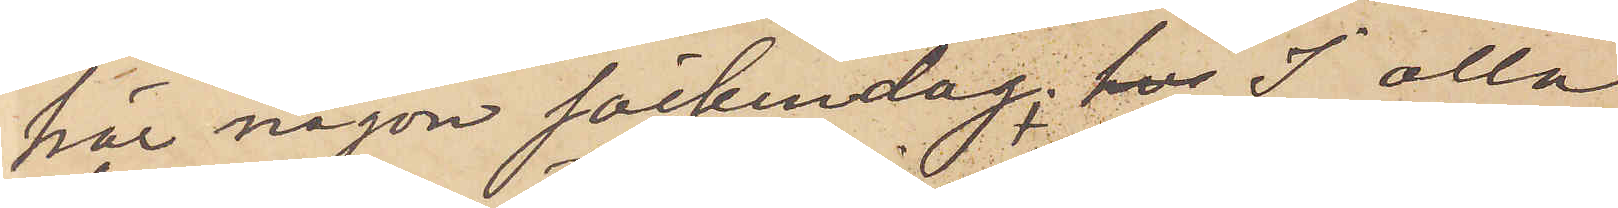här någon söckendag. I alla
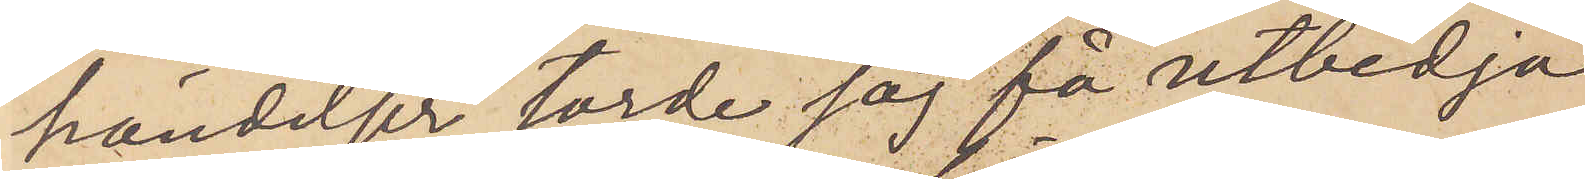händelser torde jag få utbedja
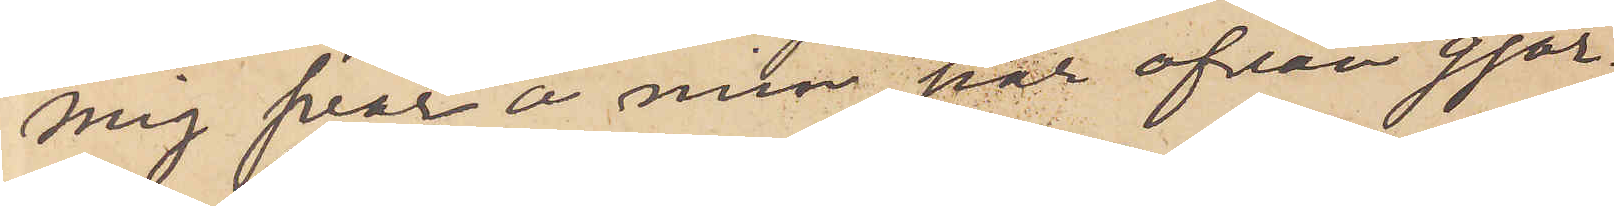mig svar å min här ofvan gjor¬
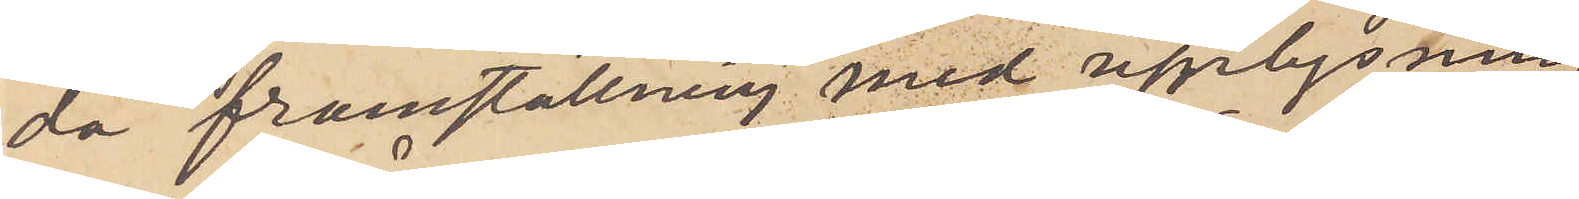da framställning med upplysning
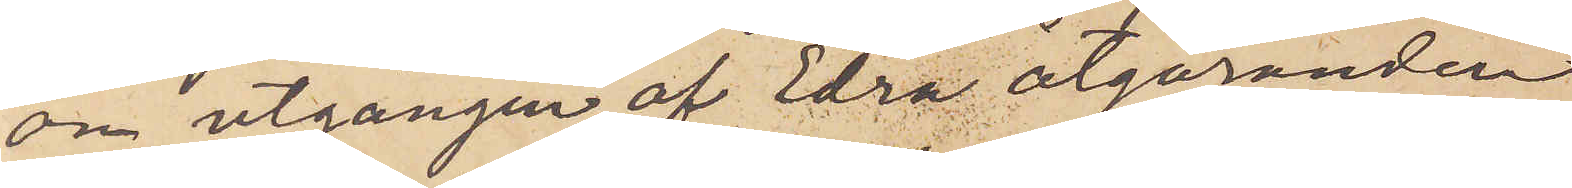om utgången af Edra åtgöranden.
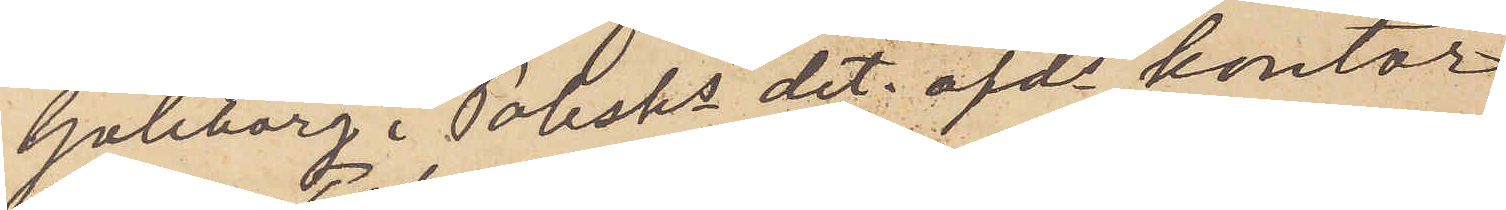Göteborg i Polishs det. afds kontor
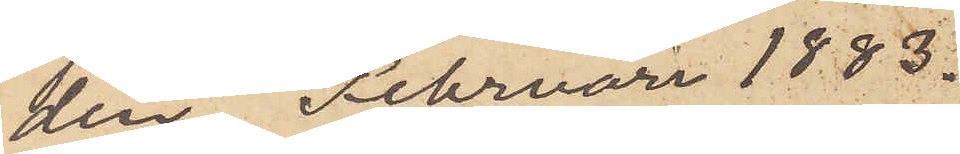den Februari 1883.
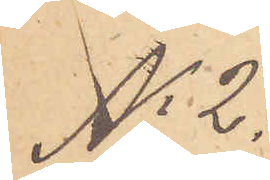No 2.
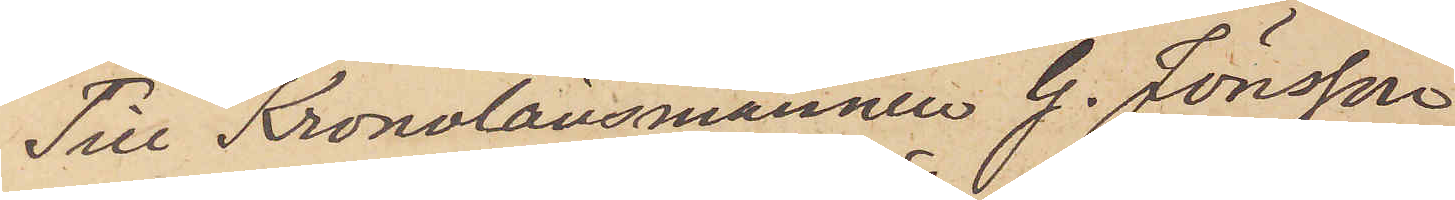Till Kronolänsmannen G. Jönsson.
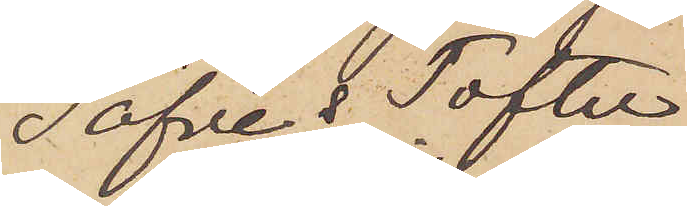Säfve & Tofte
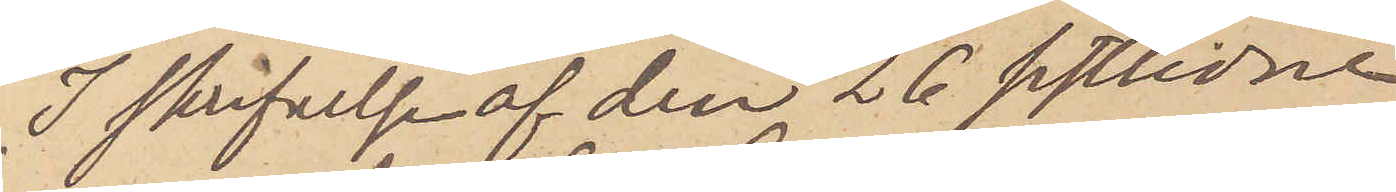I skrifvelse af den 26 sistlidne
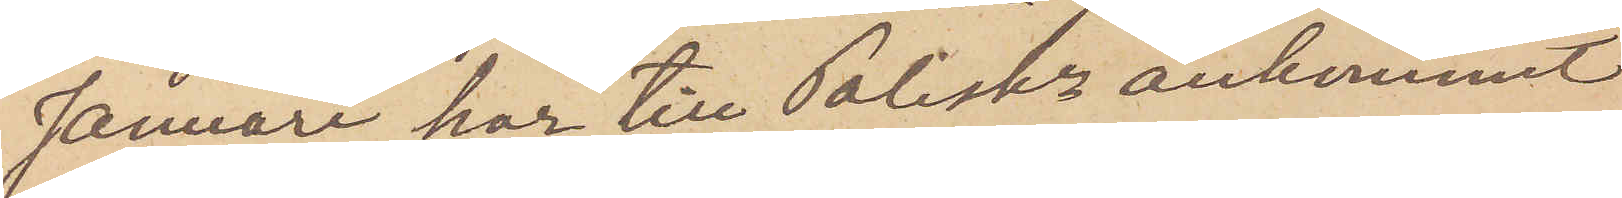Januari har till Poliskn ankommit
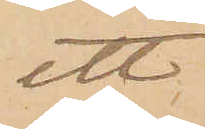ett
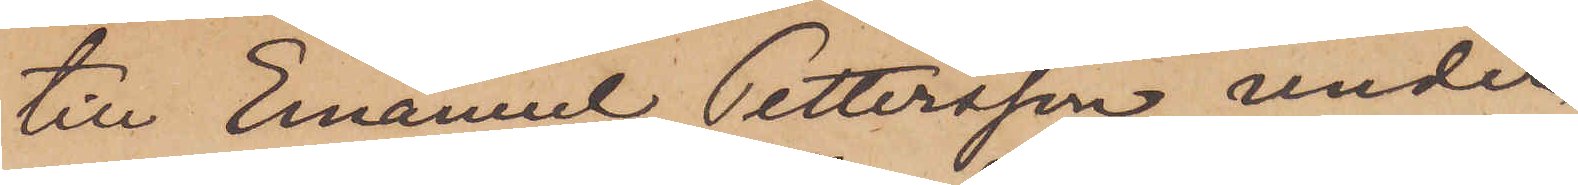till Emanuel Pettersson, under
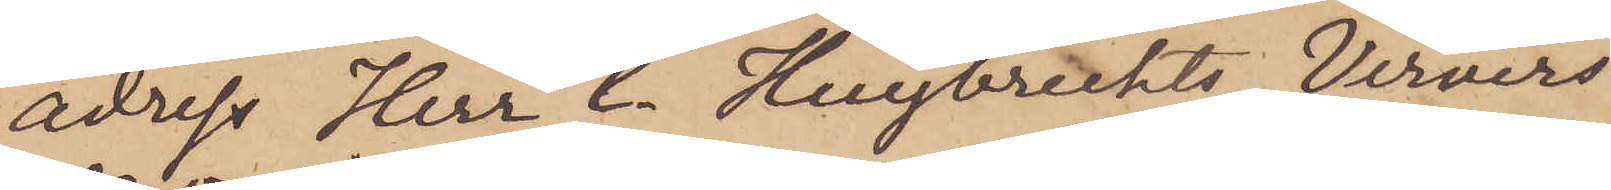adress Herr C. Huybrechts, Ververs
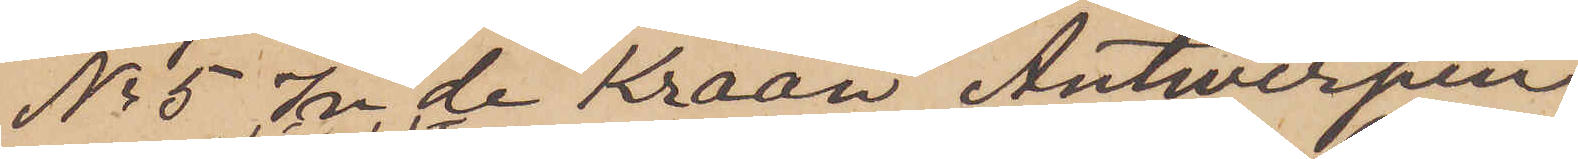No 5 In de Kraan, Antwerpen,
